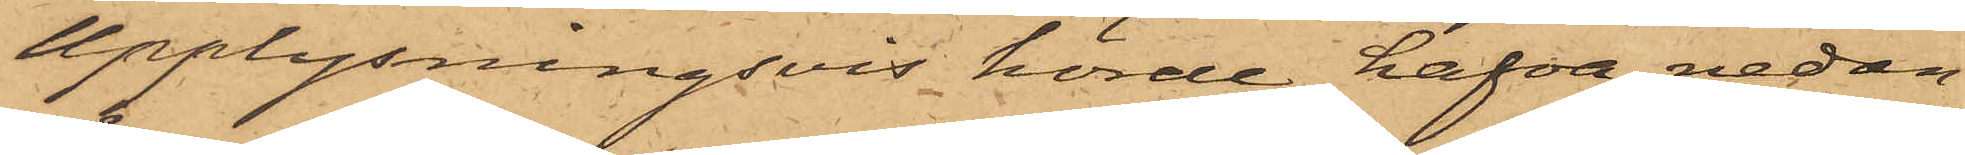Upplysningsvis hörde hafva nedan¬
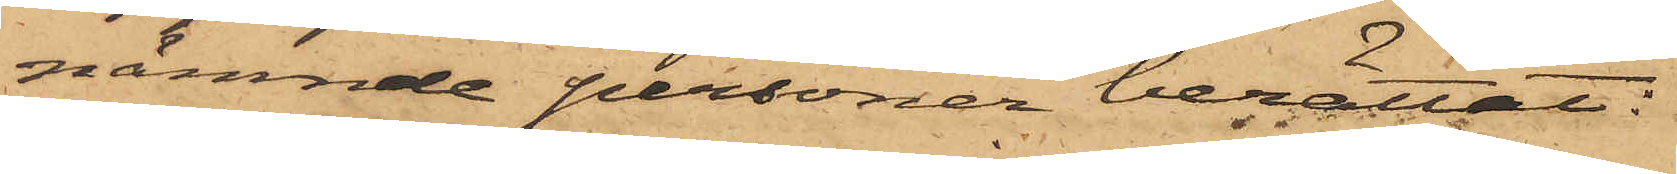nämnde personer berättat:
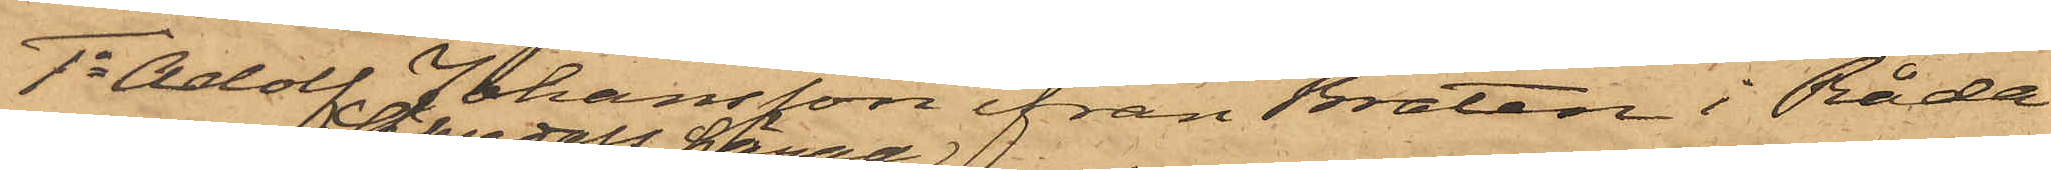1o Adolf Johansson ifrån Bråten i Råda
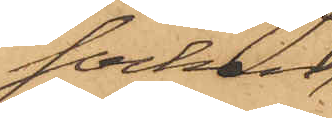socken
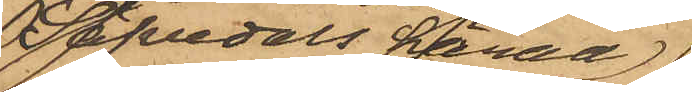Säfvedals härad,
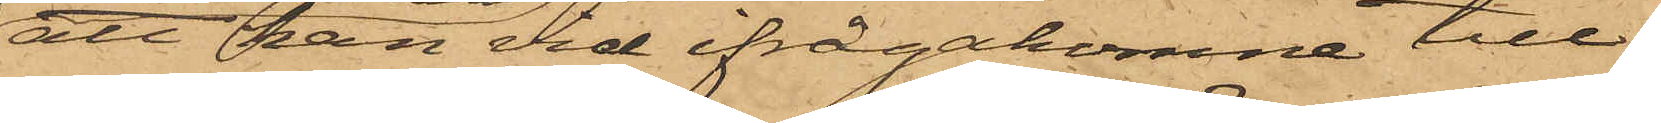att han vid ifrågakomne till¬
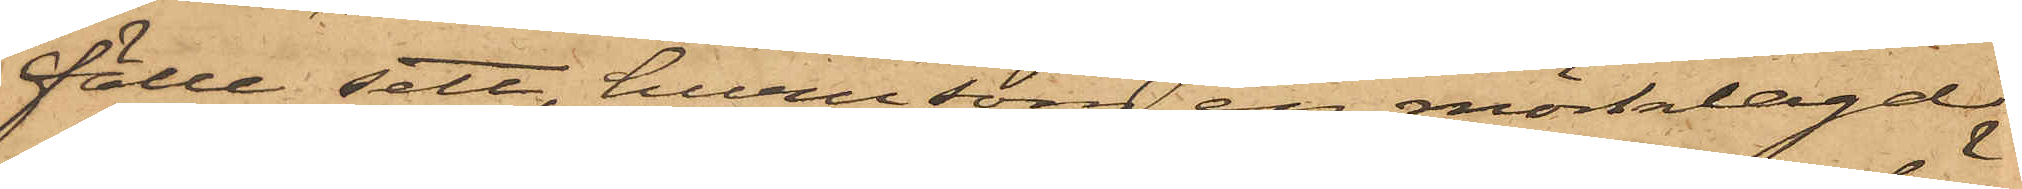fälle sett, hurusom en mörklagd,
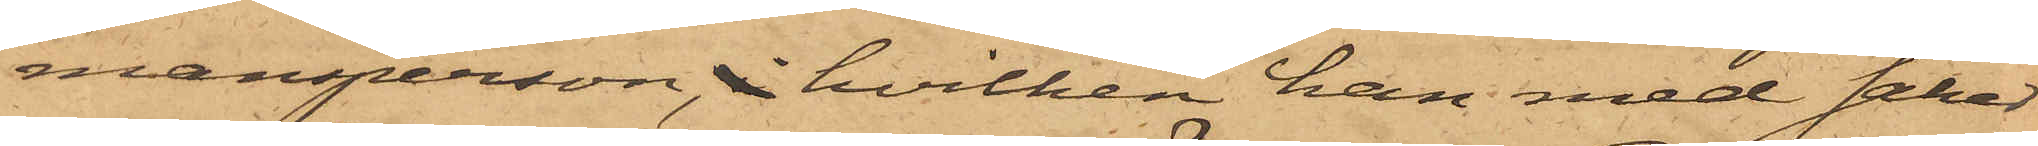mansperson, i hvilken han med säker¬
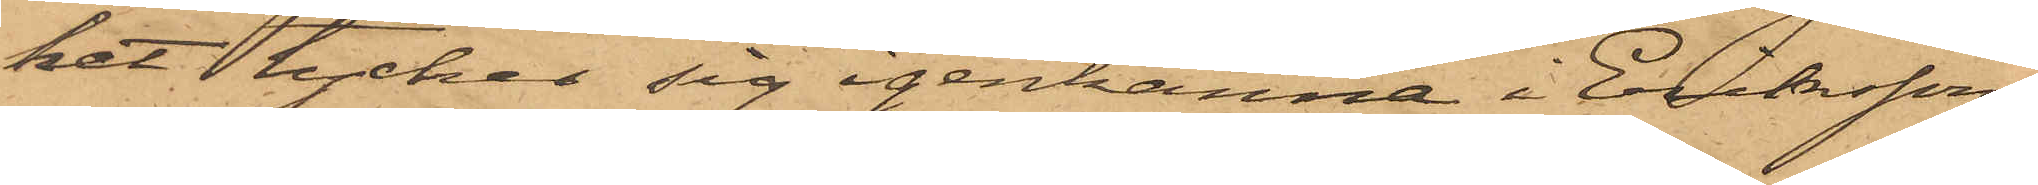het tycker sig igenkänna i Eriksson,
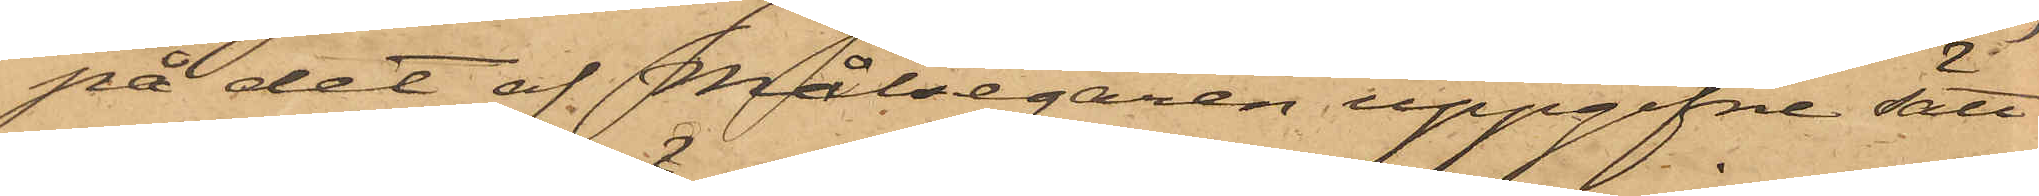på det af Målsegaren uppgifne sätt
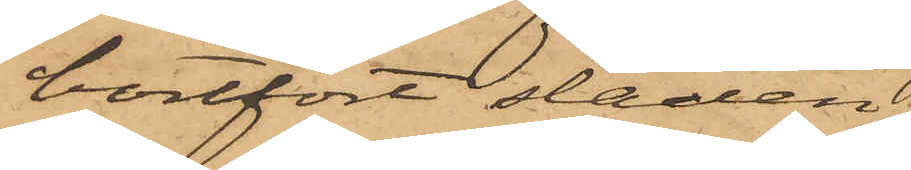bortfört släden,
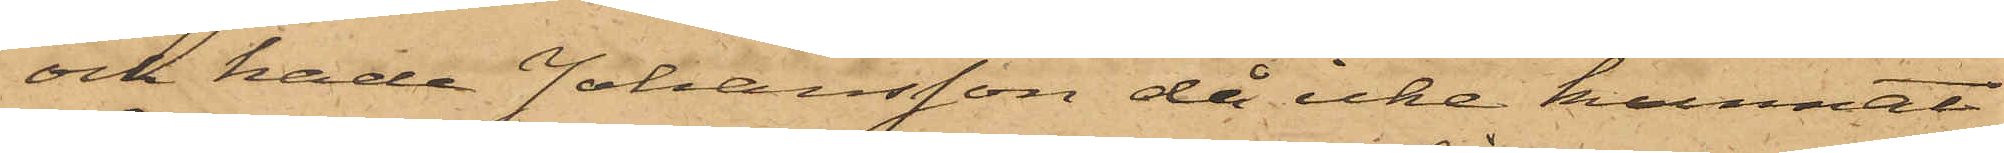och hade Johansson då icke kunnat
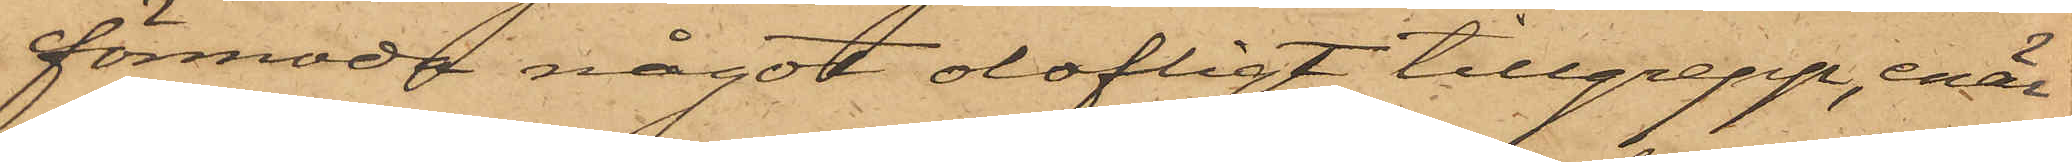förmoda något olofligt tillgrepp, enär
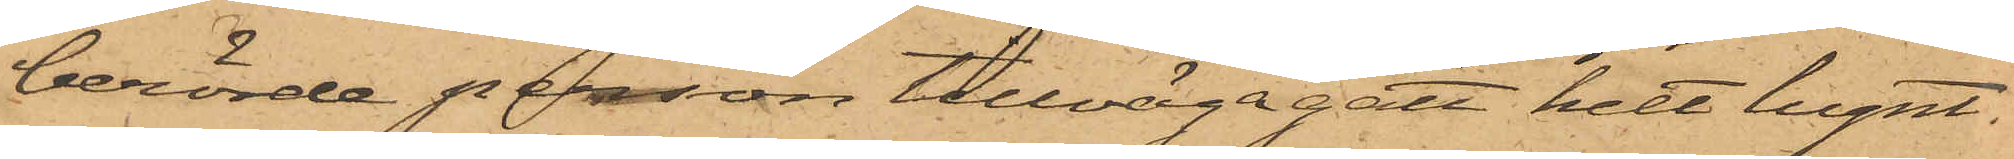berörde person tillvägagått helt lugnt.
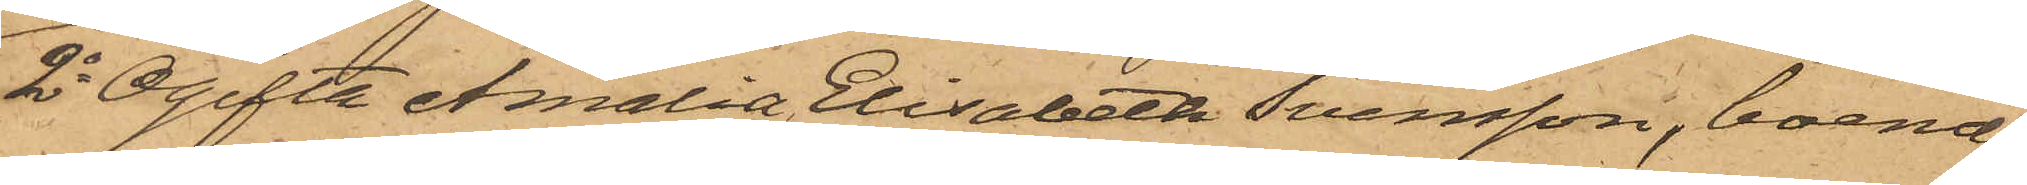2o Ogifta Amalia Elisabeth Svensson, boende
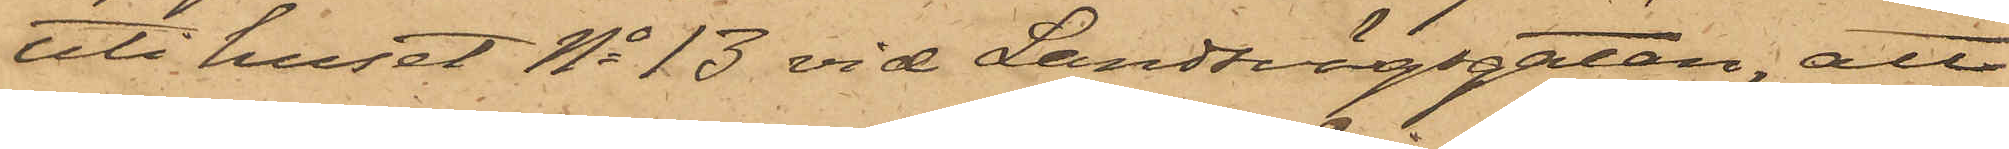uti huset No 13 vid Landsvägsgatan; att
